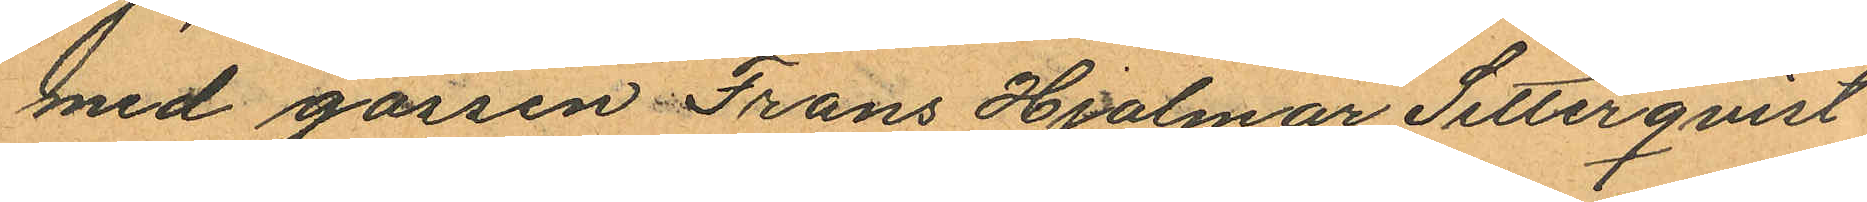med gossen Frans Hjalmar Setterqvist
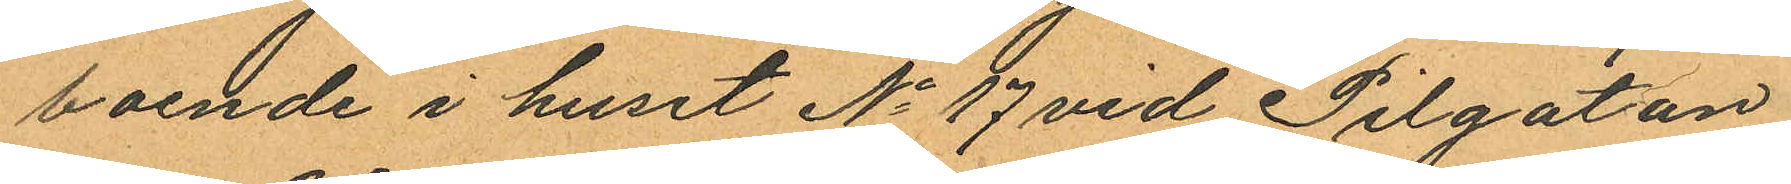boende i huset No 17 vid Pilgatan
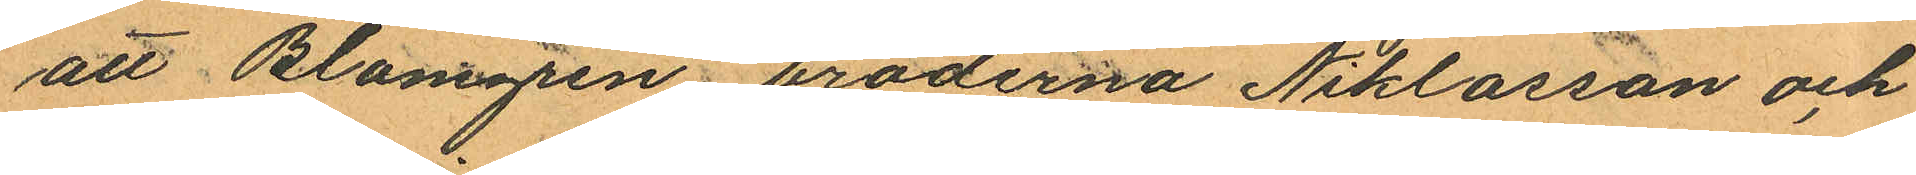att Blomgren bröderna Niklasson och
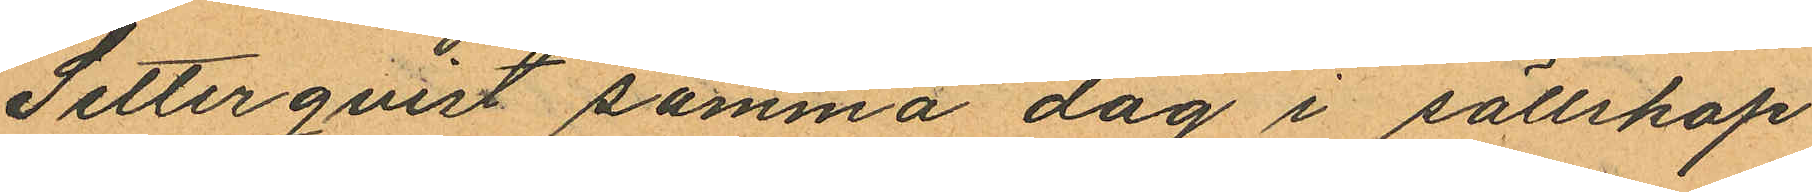Setterqvist samma dag i sällskap
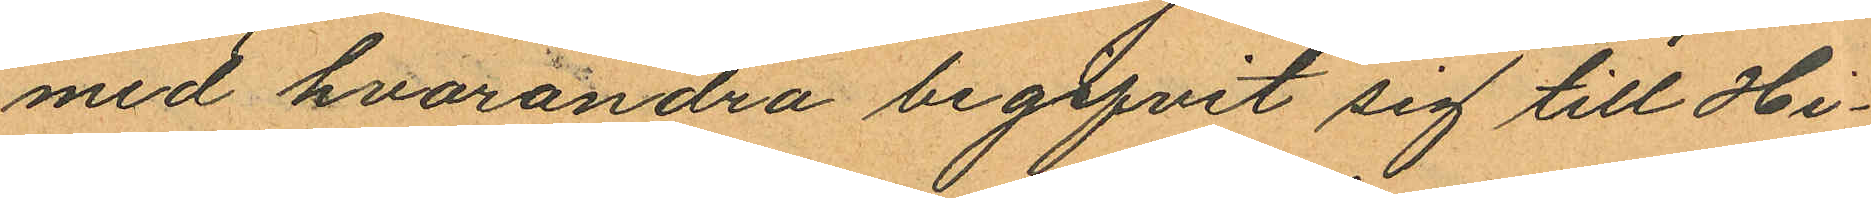med hvarandra begifvit sig till Hi¬
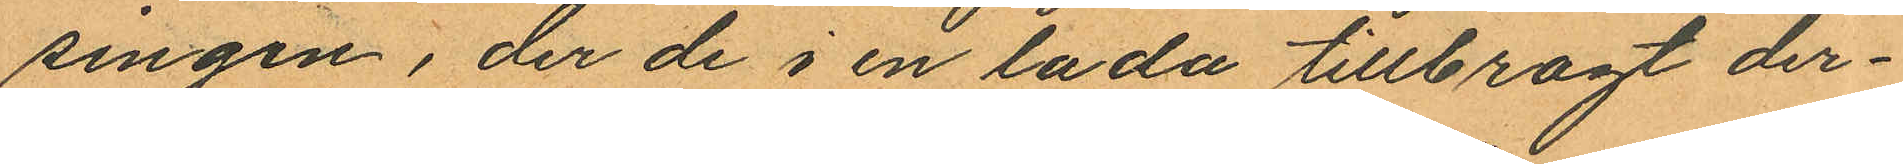singen, der de i en lada tillbragt der¬
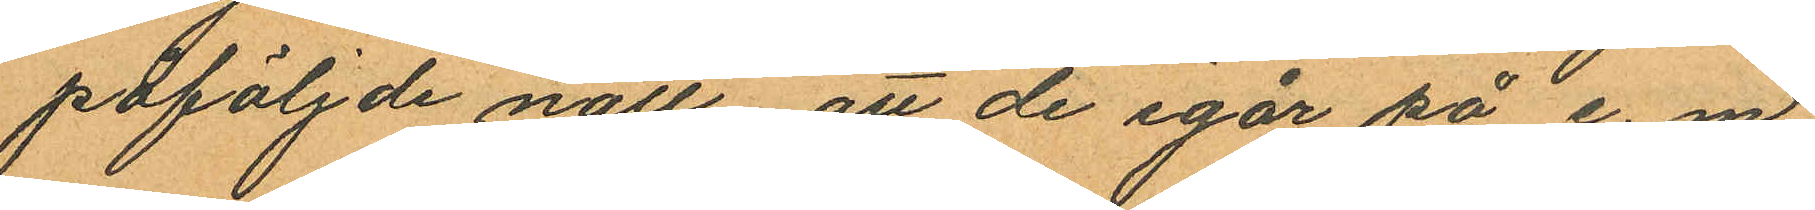påföljde natt att de igår på e. m.
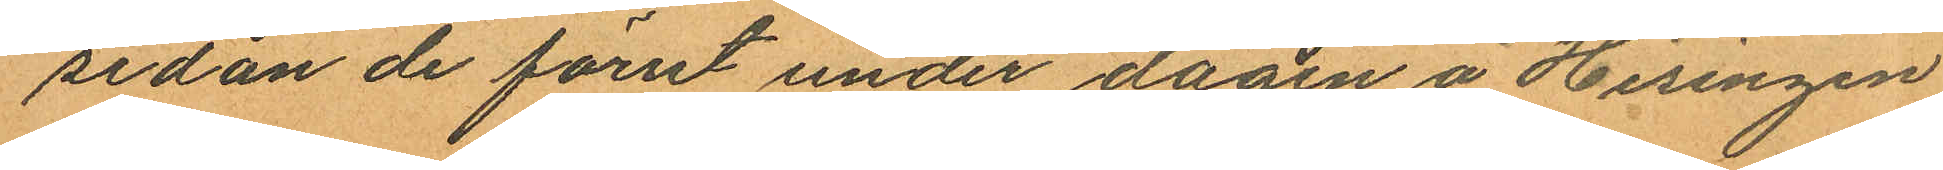sedan de förut under dagen å Hisingen
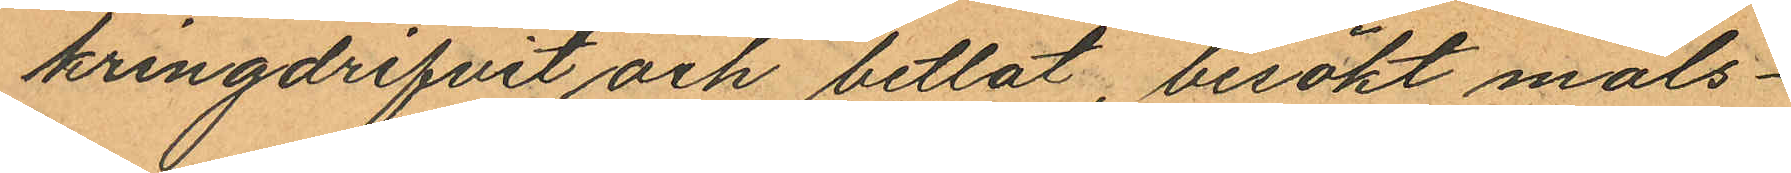kringdrifvit och betlat, besökt måls¬
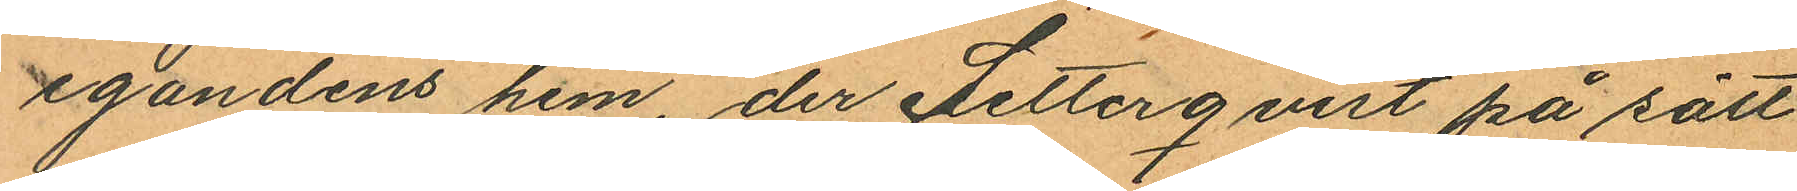egandens hem der Setterqvist på sätt
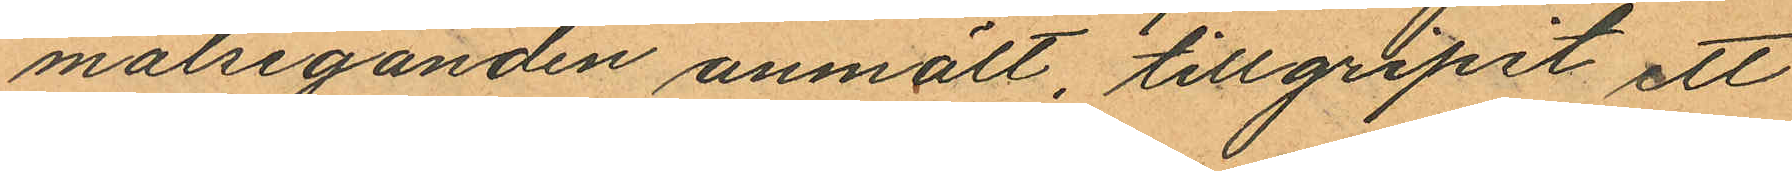målseganden anmält, tillgripit ett
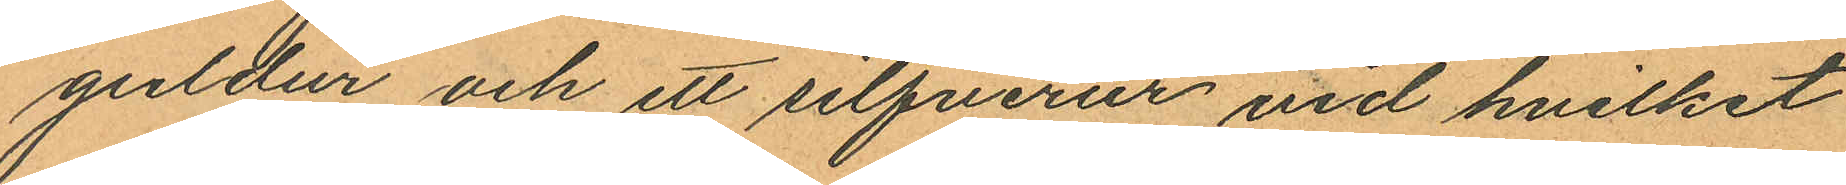guldur och ett silfverur vid hvilket
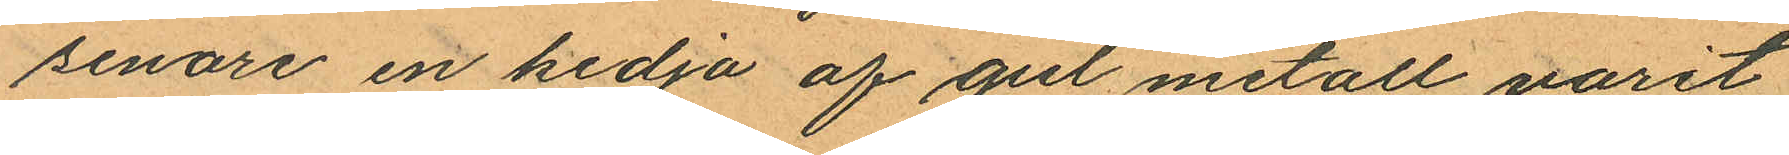senare en kedja af gul metall varit
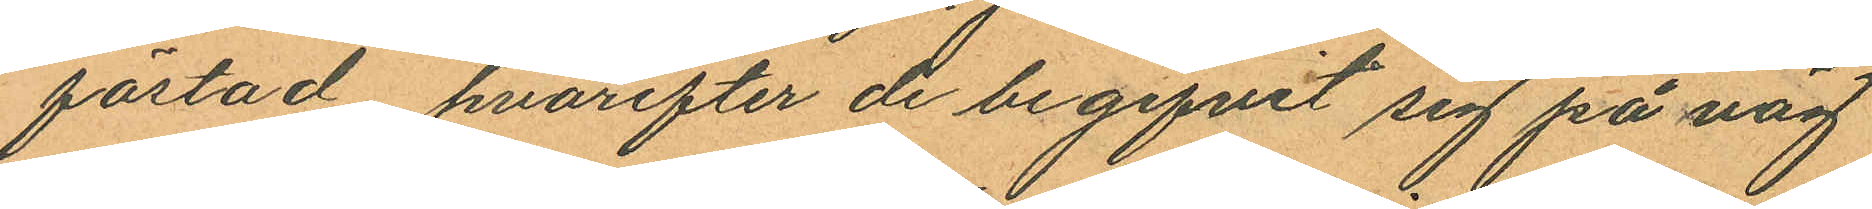fästad, hvarefter de begifvit sig på väg
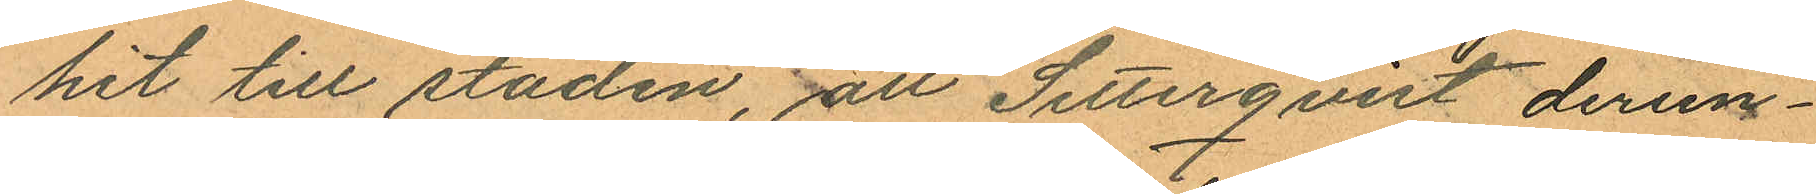hit till staden, att Setterqvist derun¬
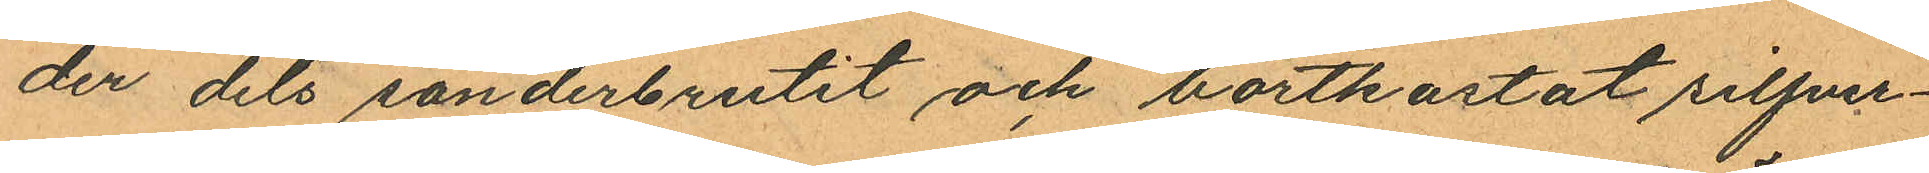der dels sönderbrutit och bortkastat silfver¬
